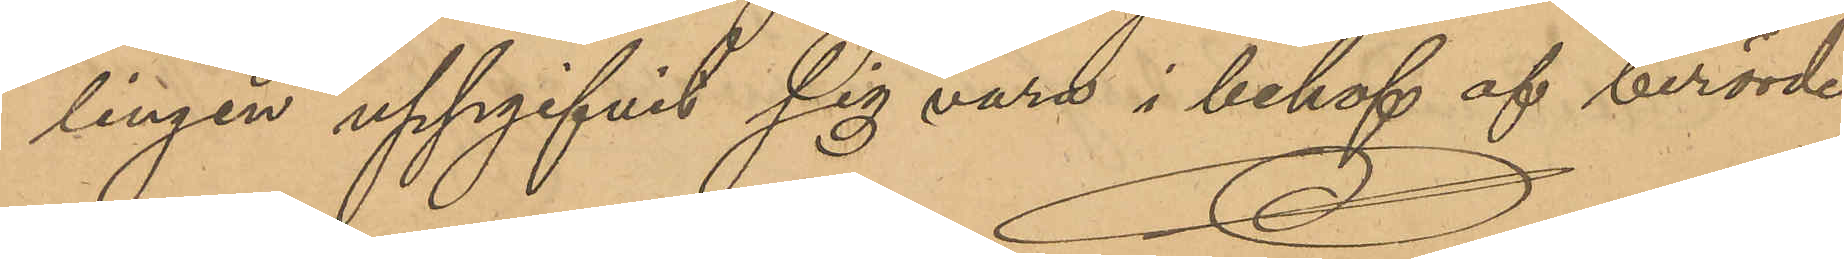lingen uppgifvit sig vara i behof af berörde
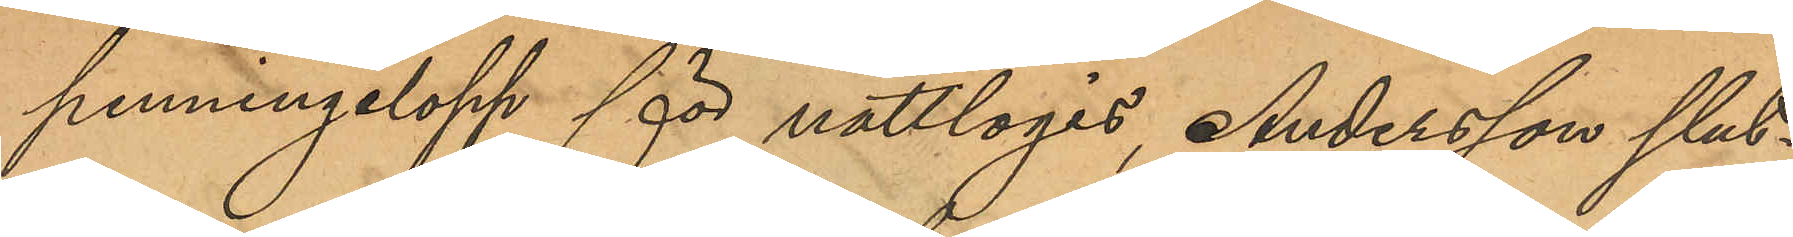penningelopp för nattlogis, Andersson slut¬
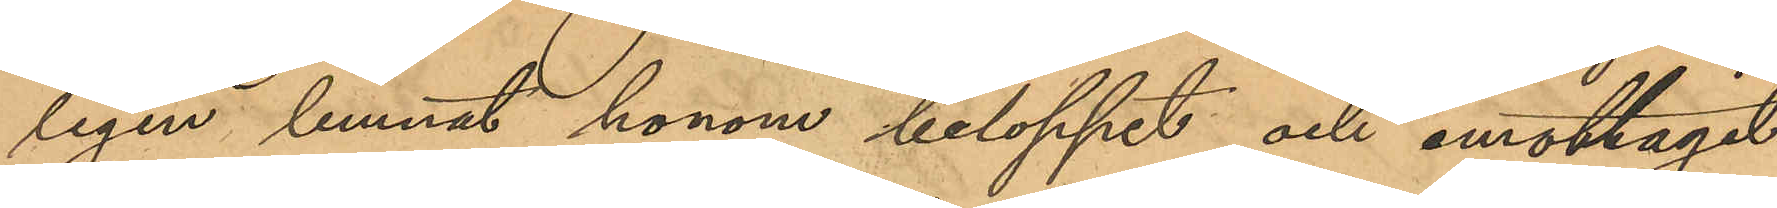ligen lemnat honom beloppet och emottagit
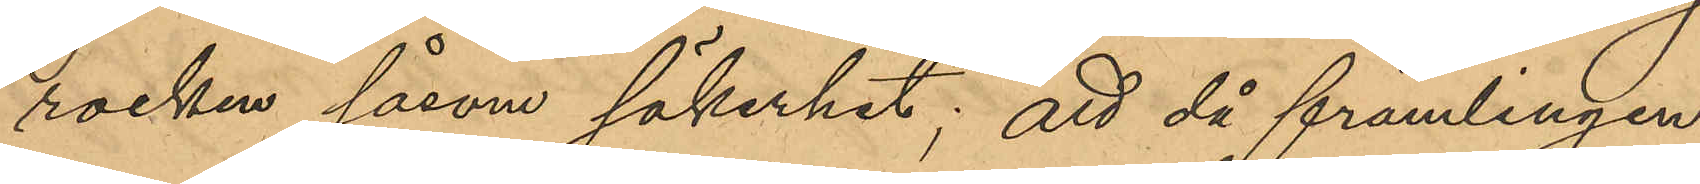rocken såsom säkerhet; att då främlingen
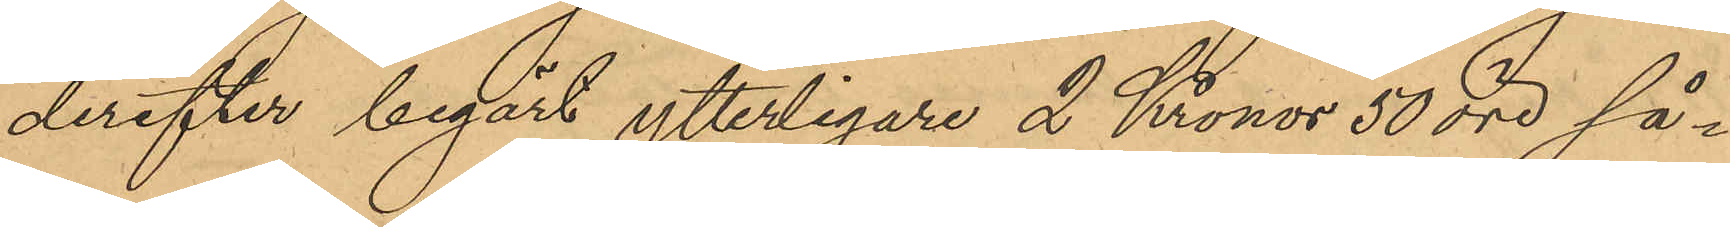derefter begärt ytterligare 2 Kronor 50 öre så¬
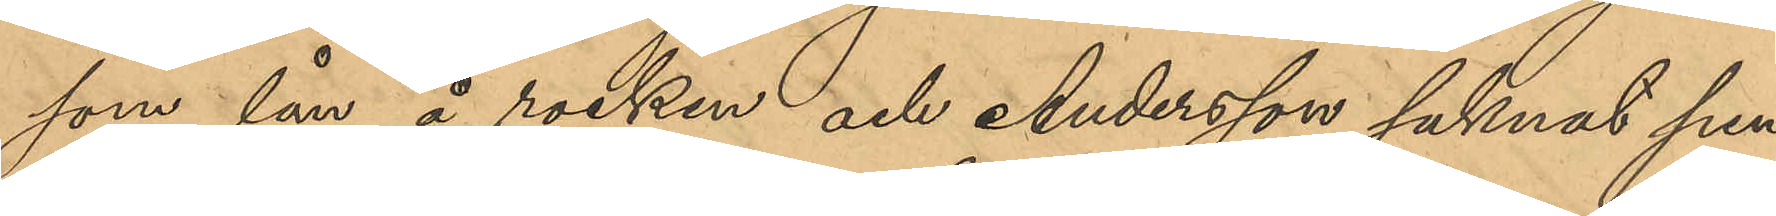som lån å rocken och Andersson saknat pen¬
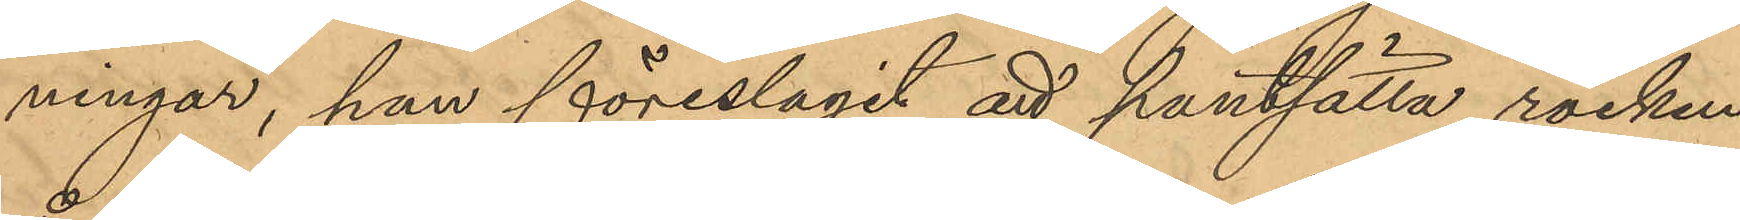ningar, han föreslagit att pantsätta rocken
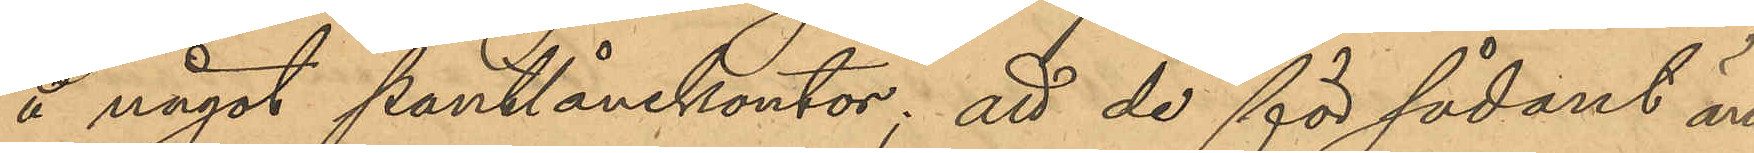å något pantlånekontor; att de för sådant än¬
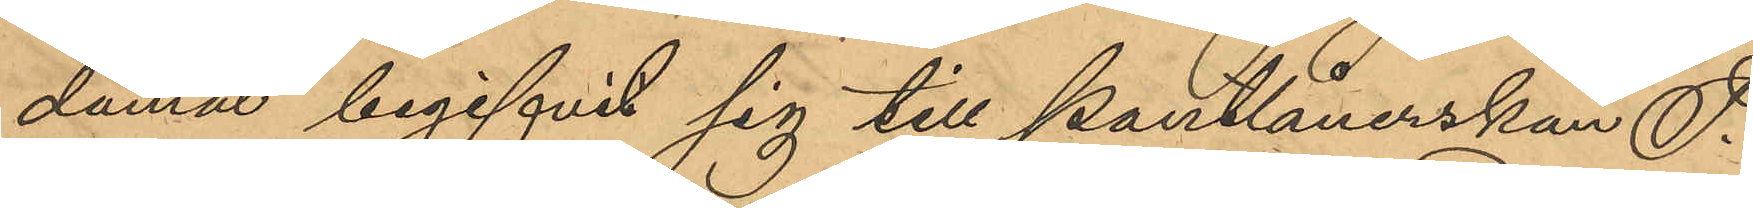damål begifvit sig till Pantlånerskan F.
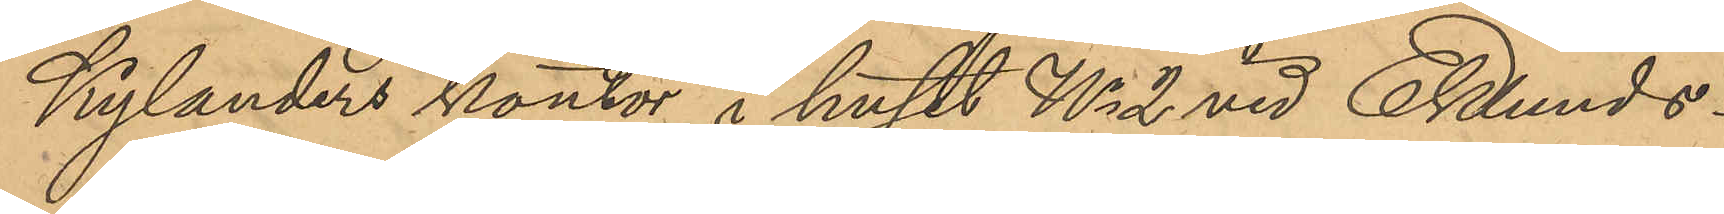Kylanders kontor i huset No 2 vid Eklunds¬
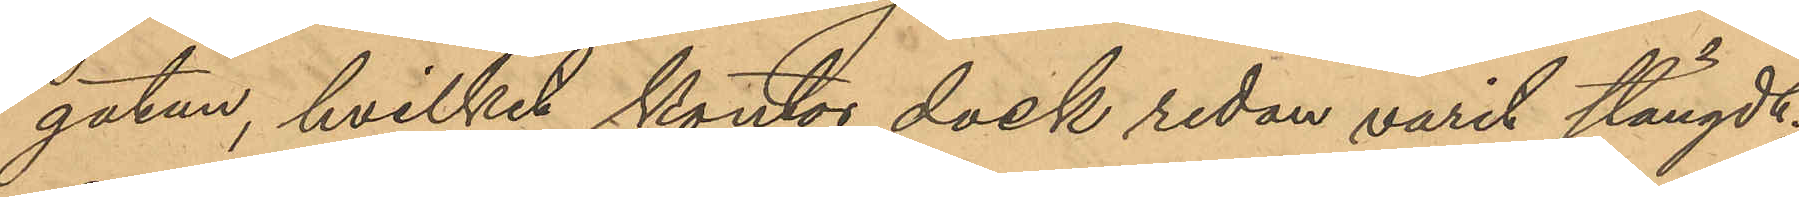gatan, hvilket kontor dock redan varit stängt;
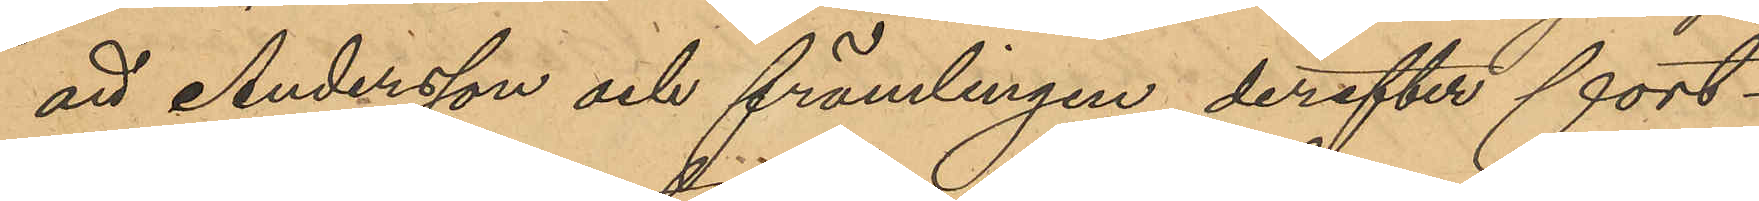att Andersson och främlingen derefter fort¬
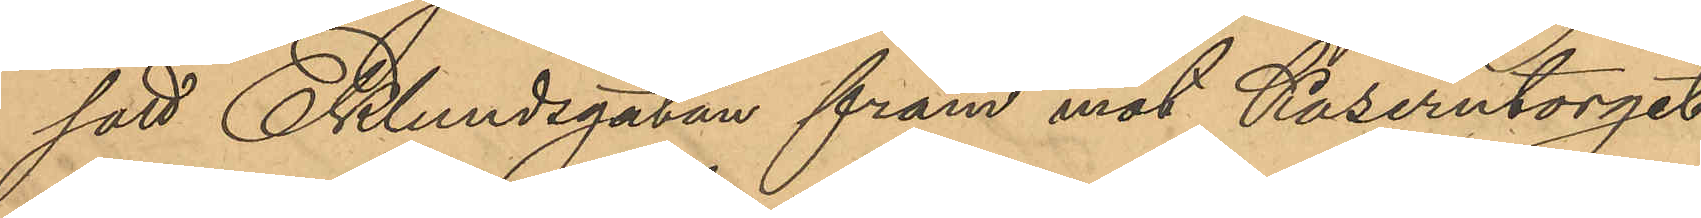satt Eklundsgatan fram mot Kaserntorget
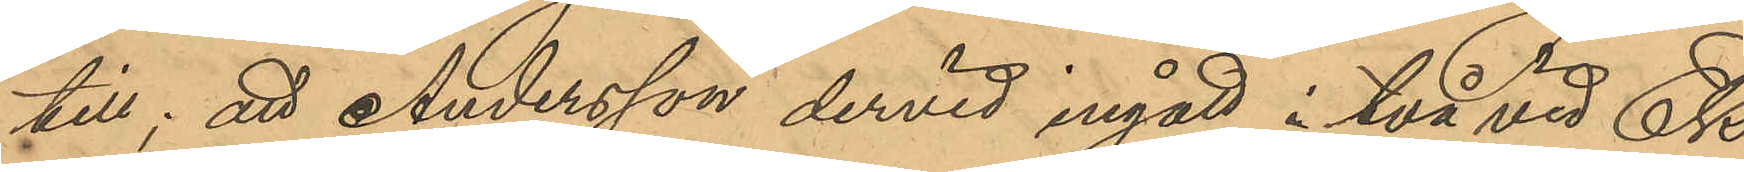till; att Andersson dervid ingått i två vid Ek¬
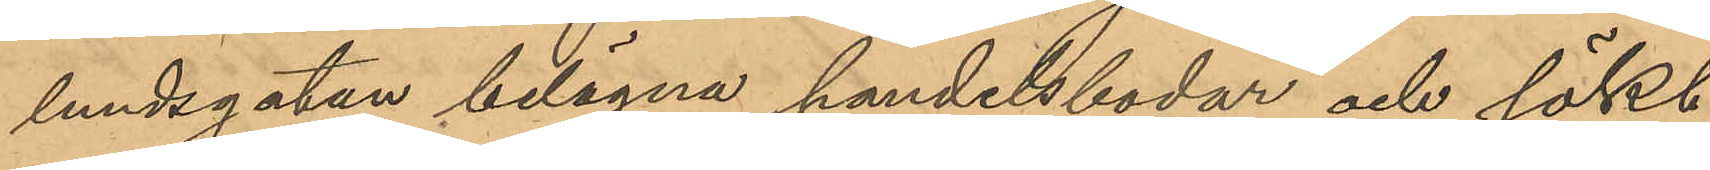lundsgatan belägna handelsbodar och sökt
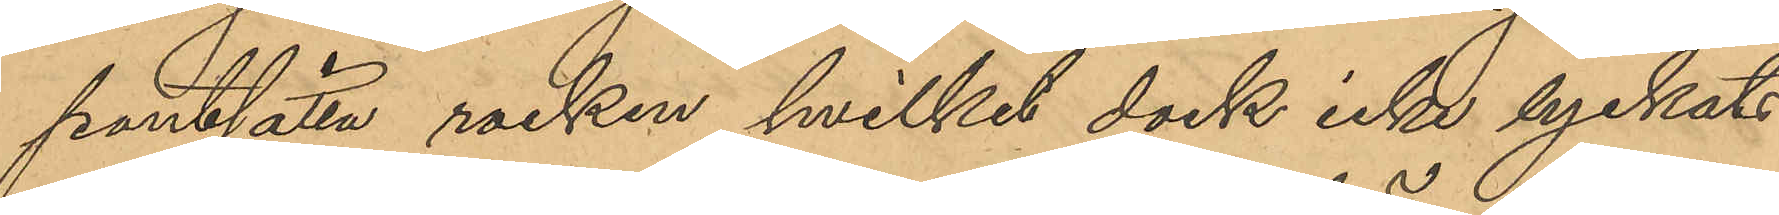pantsätta rocken, hvilket dock icke lyckats
